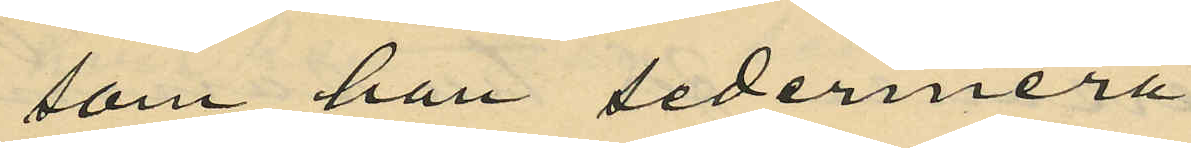som han sedermera
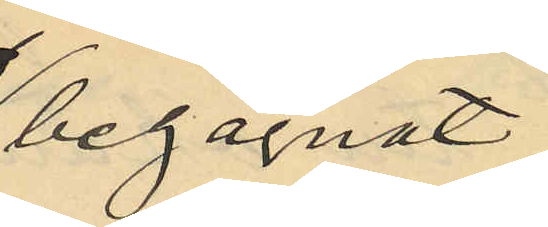begagnat
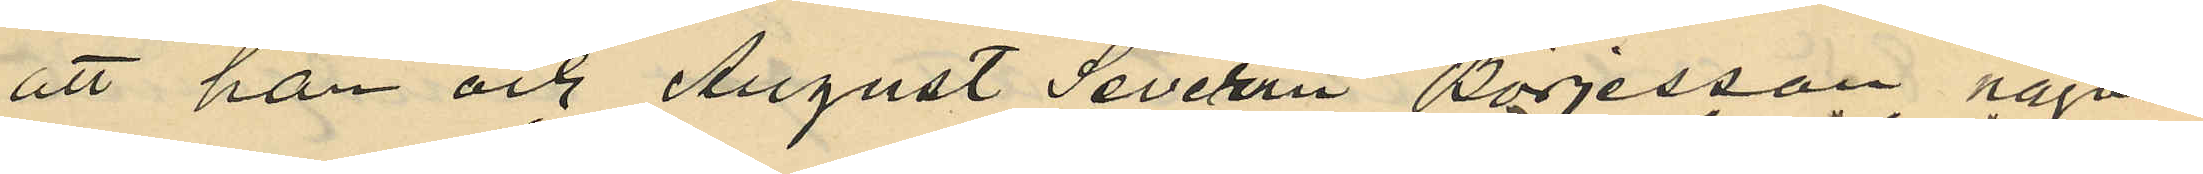att han och August Severin Börjesson någon
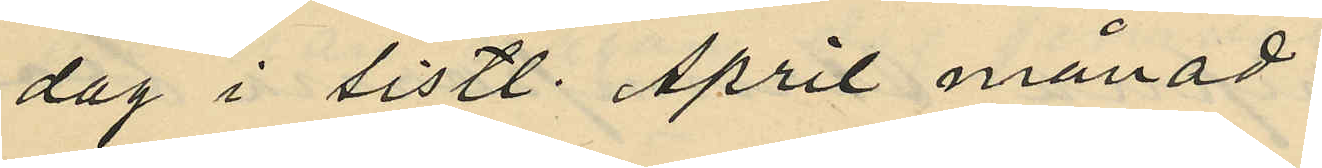dag i sistl. April månad
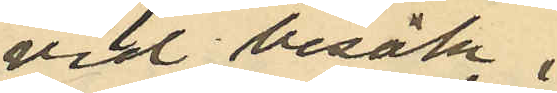vid besök i
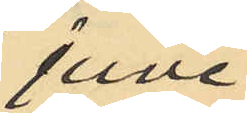juve¬
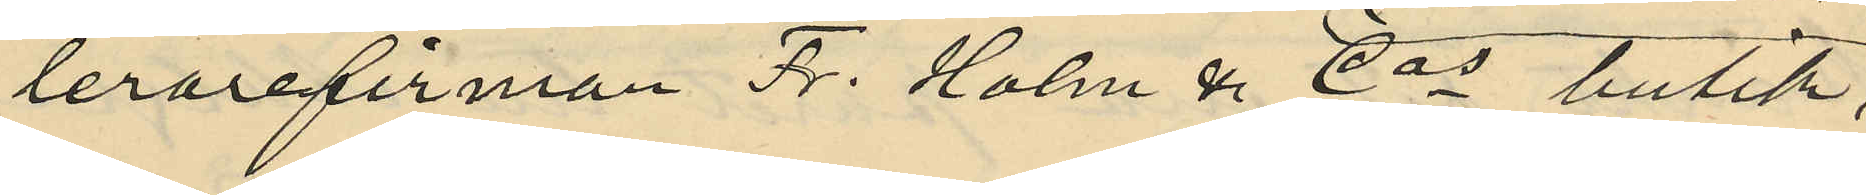lerarefirman Fr. Holm & Cos butik;
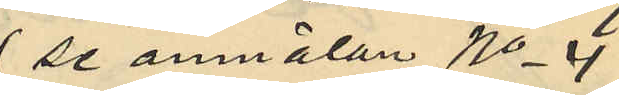(se anmälan No 4)
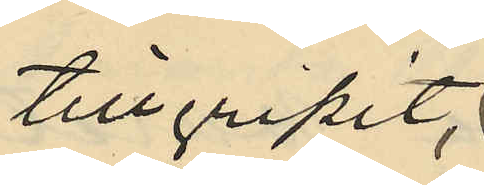tillgripit
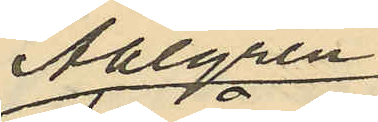Ahlgren
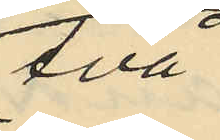två
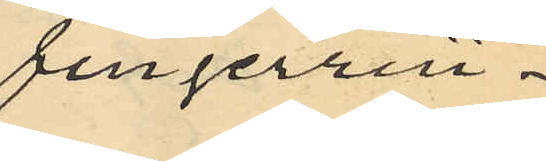fingerrin¬
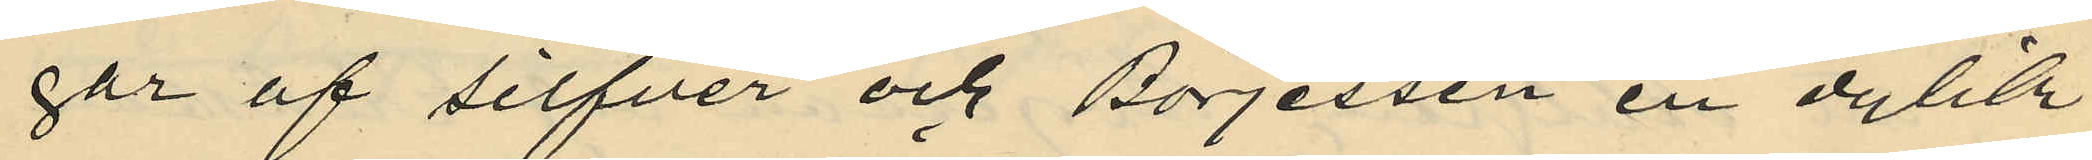gar af silfver och Börjessen en dylik
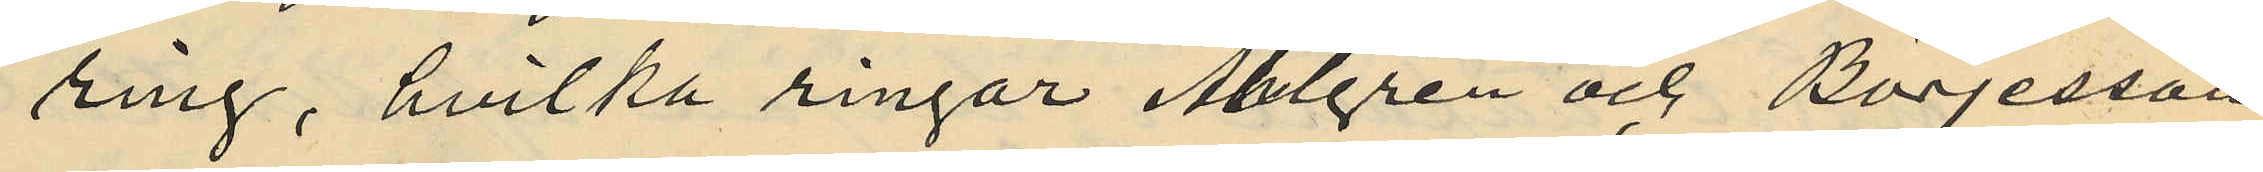ring, hvilka ringar Ahlgren och Börjesson
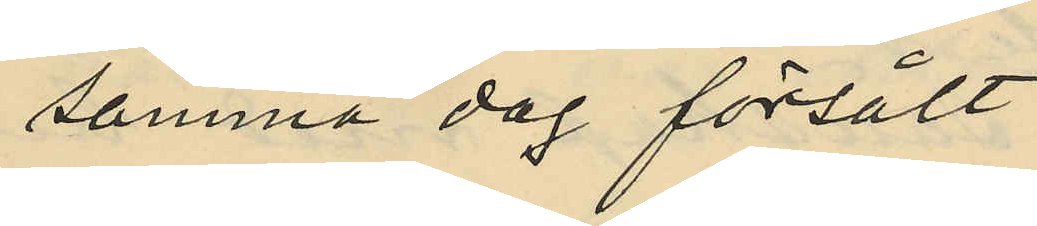samma dag försålt
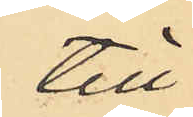till
